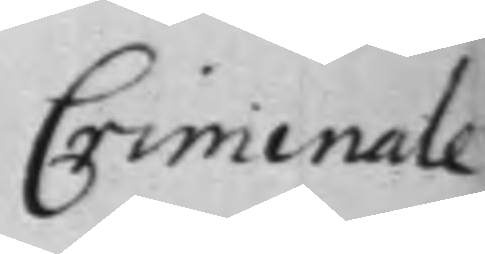Criminale
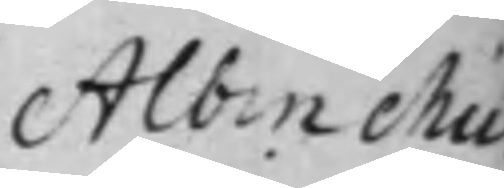Albin Mü¬
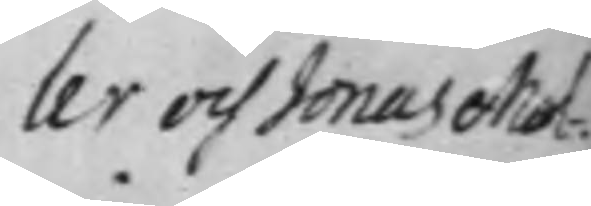ler och Jonas Mal¬
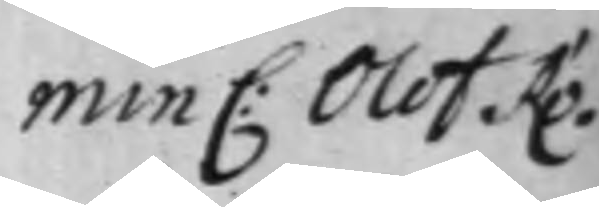min C: Olof Ro¬
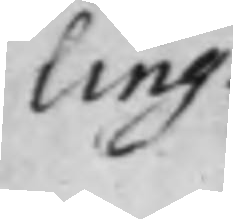ling.
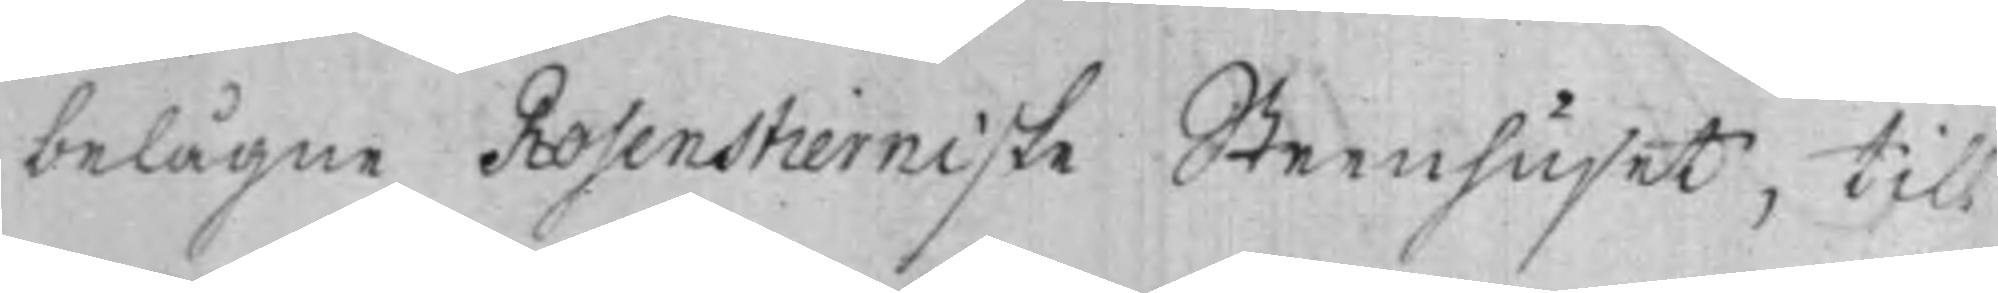belägne Rosenstierniske Steenhuset, till
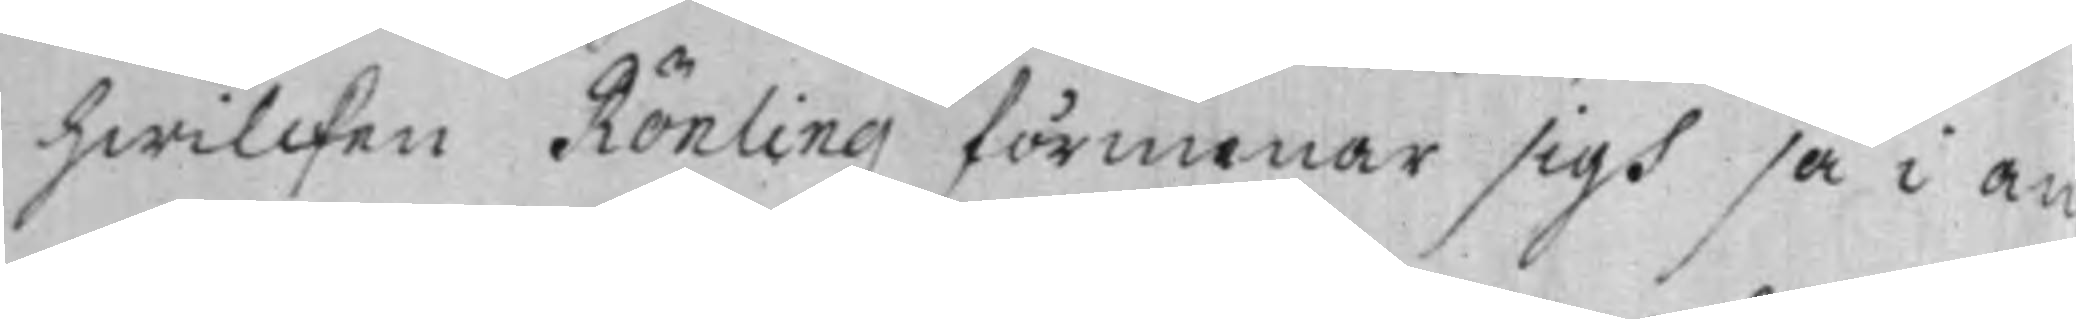hwilcken Rönling förmenar sigh så i an¬
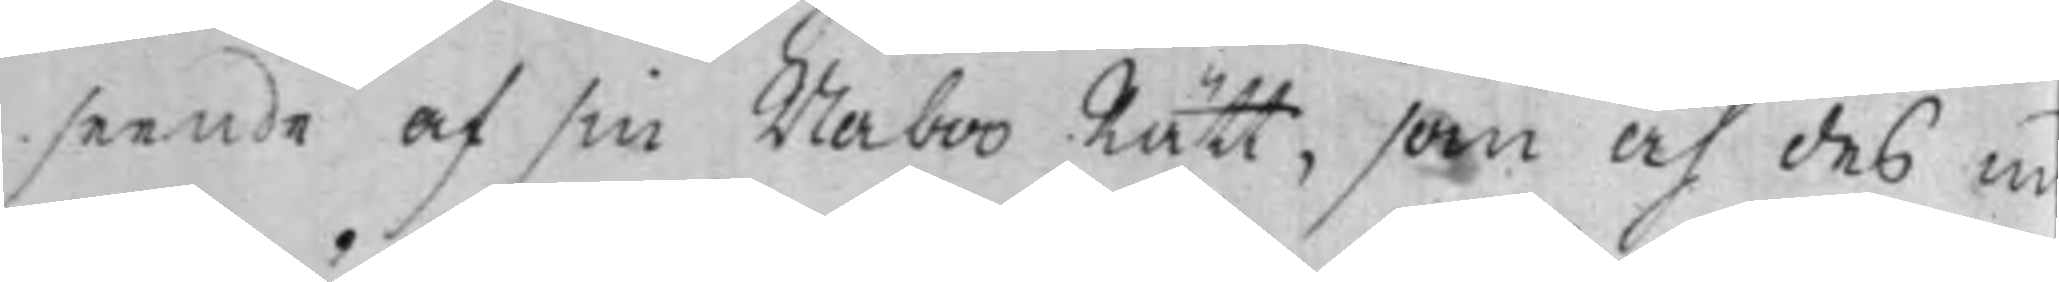seende af sin Naboo Rätt, som af des m
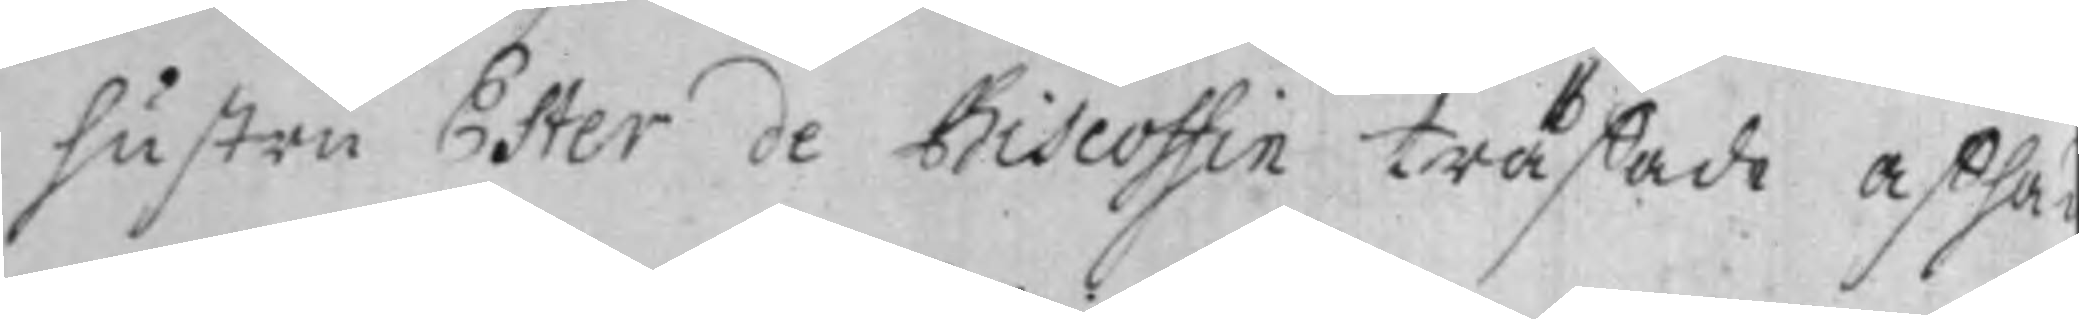hustru Ester de Biscoffin träffade afhan¬
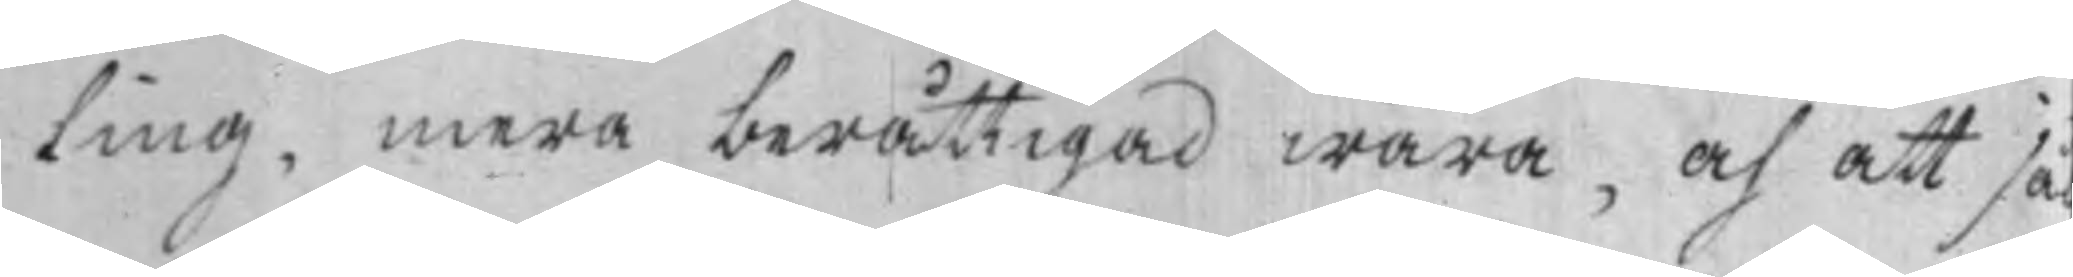dling, mera berättigad wara, och att så¬
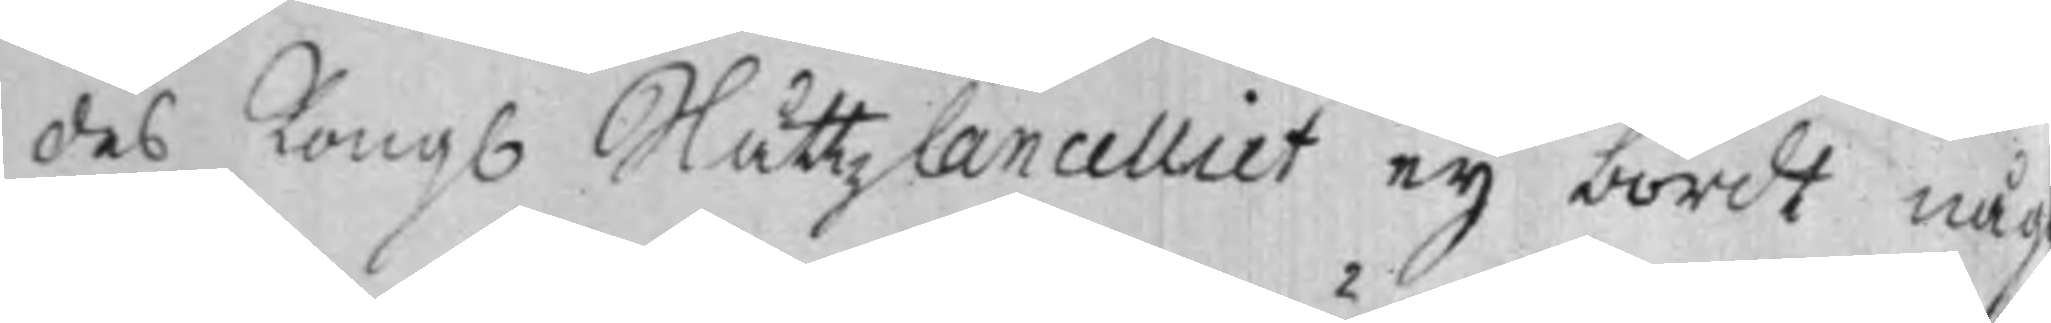des Kongl SlåttzCancelliet ey bordt någ
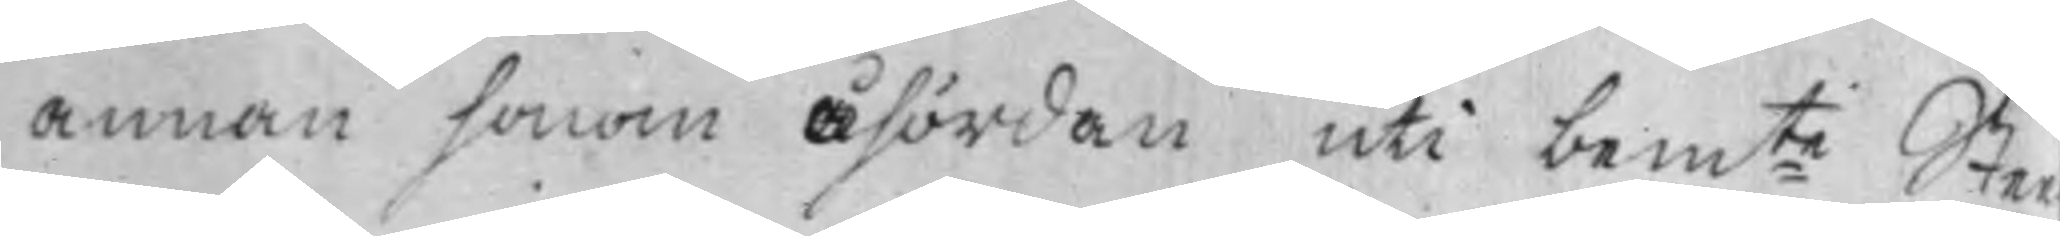annan honom åhördan uti bem:te Sten¬
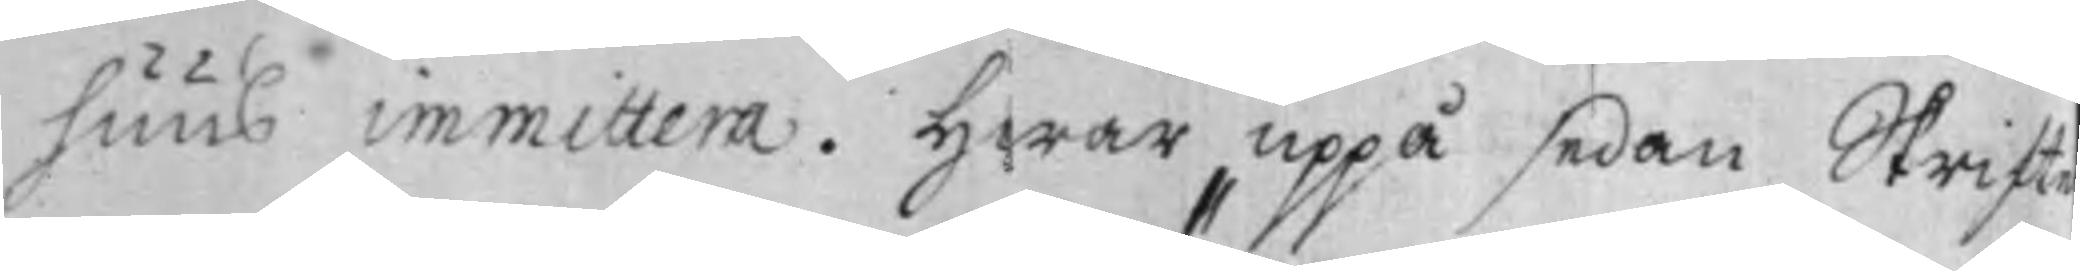huus immittera. Hwar uppå sedan Skrifte¬
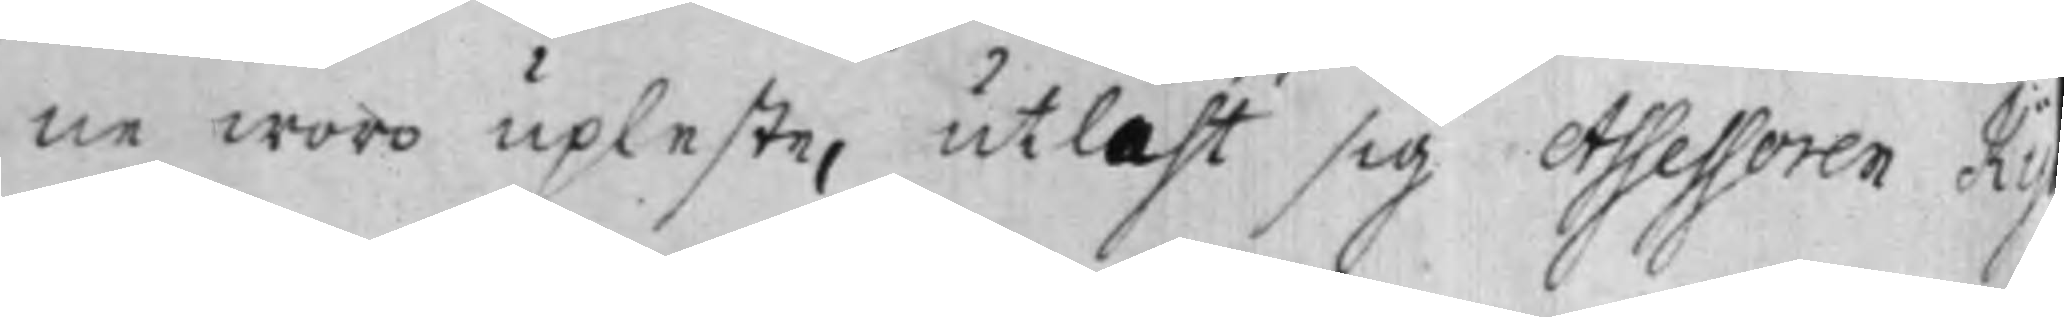ne woro upleste, utläht sig Assessoren Ky
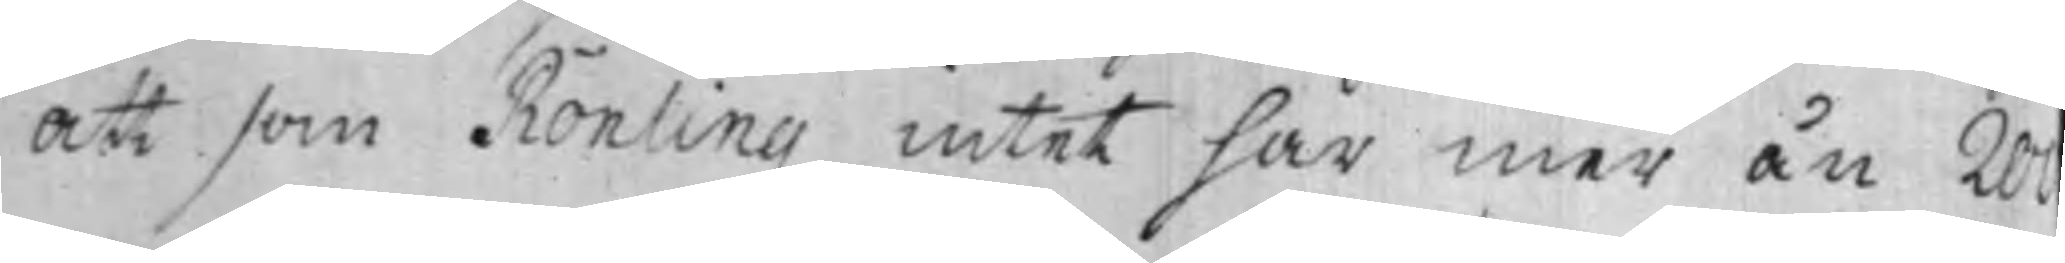att som Rönling intet har mer än 200
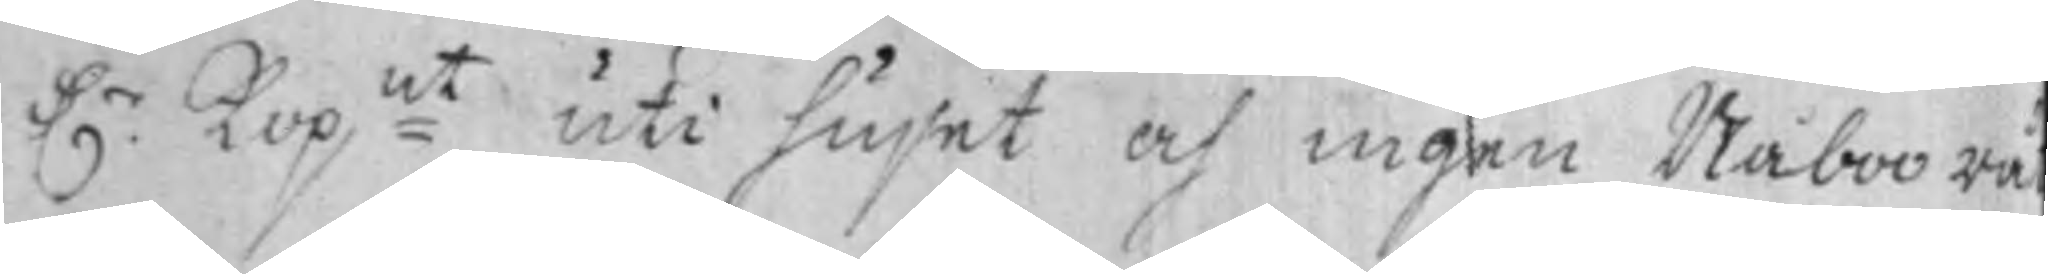D.r Kop:mt uti huset och ingen Naboo rå
